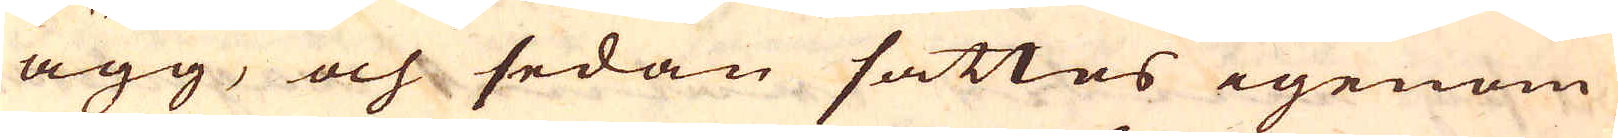ägg, och sedan sattes igenom
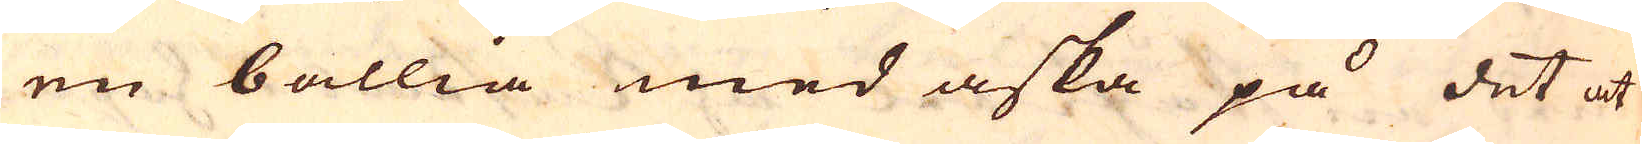en ballia med aska på det at
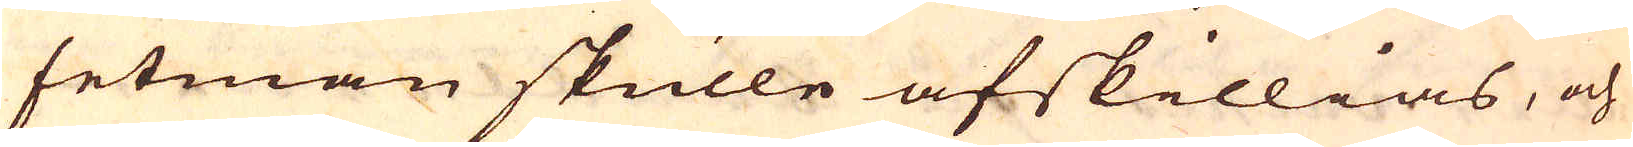fetman skulle afskillias, och
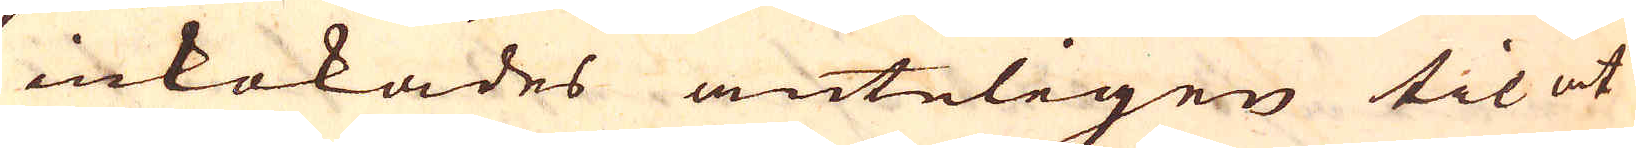inkokades änteligen til at
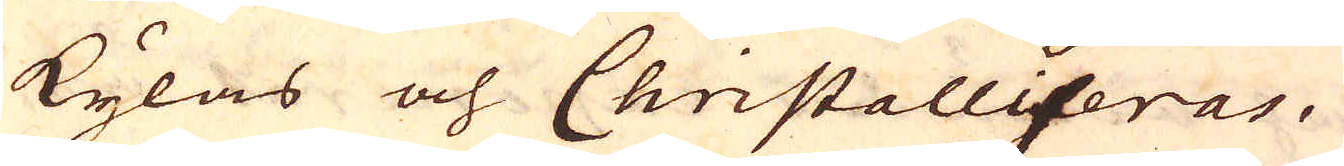kylas och Christalliseras.
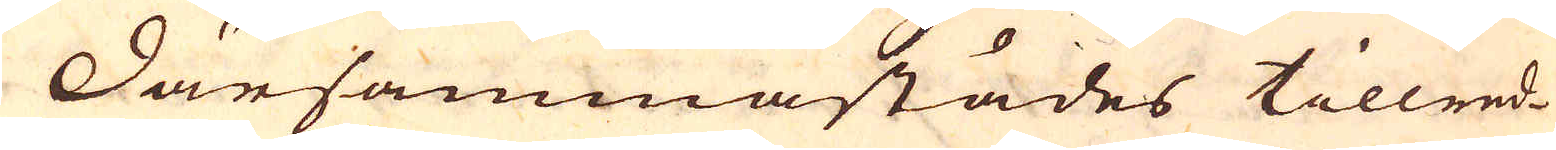Därsammastädes tillred-
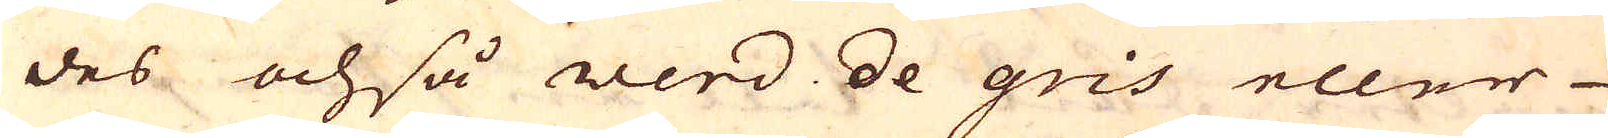des ochså werd de gris eller
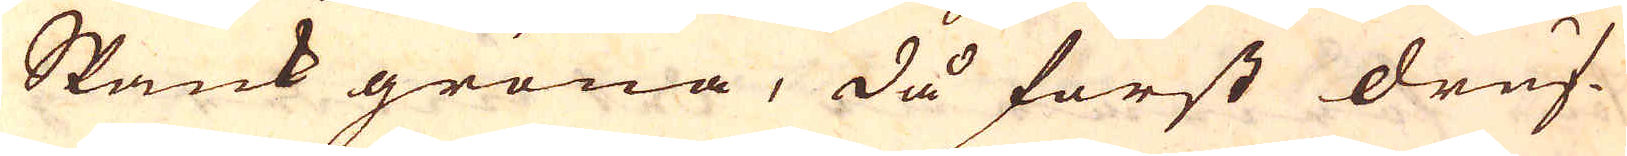Spank gröna, då först druf-
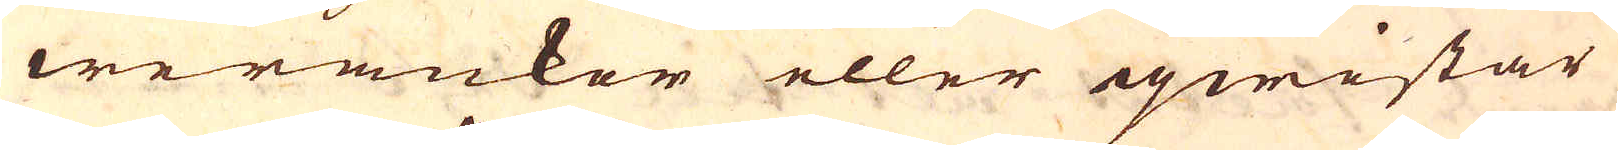werankor eller qwistar
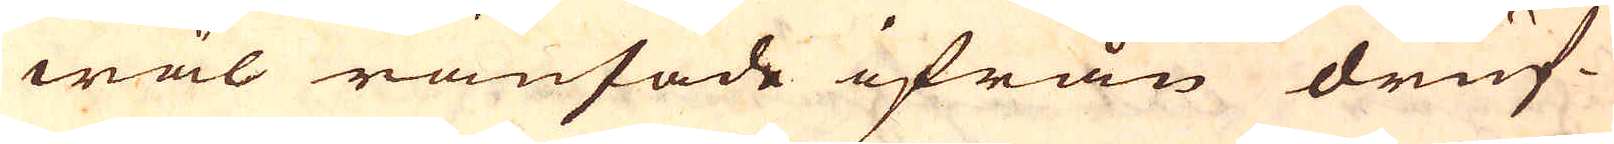wäl ränsade ifrån druf-
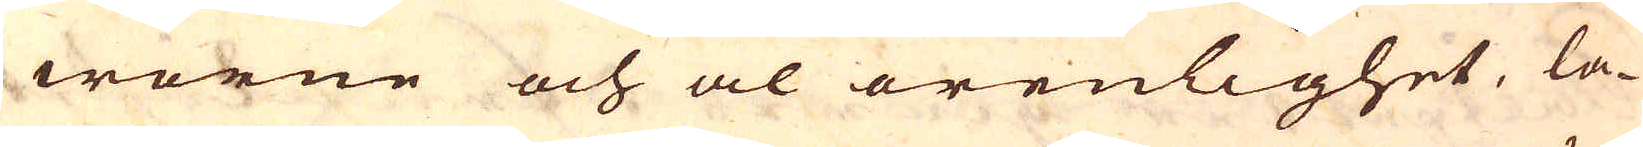worne och al orenlighet, la-
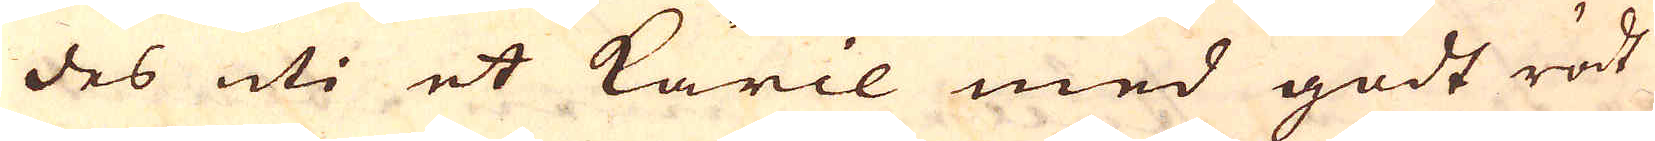des uti et käril med godt rödt
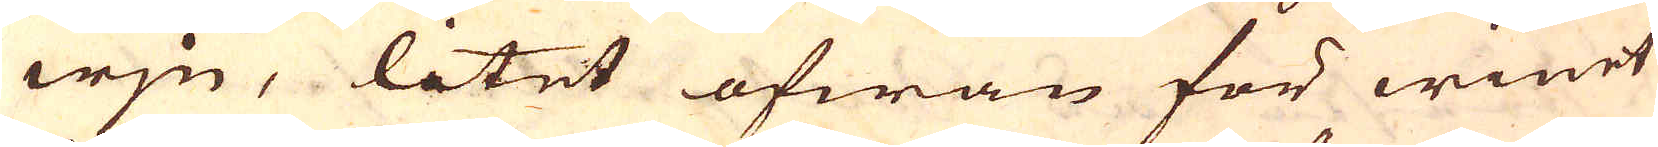wjn, litet ofwan för winet
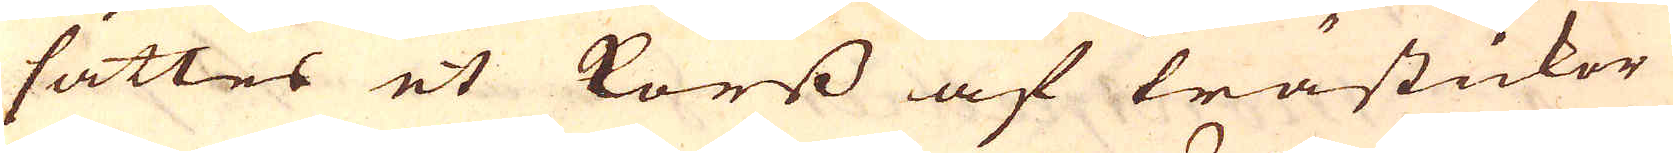sättes et korss af trästickor
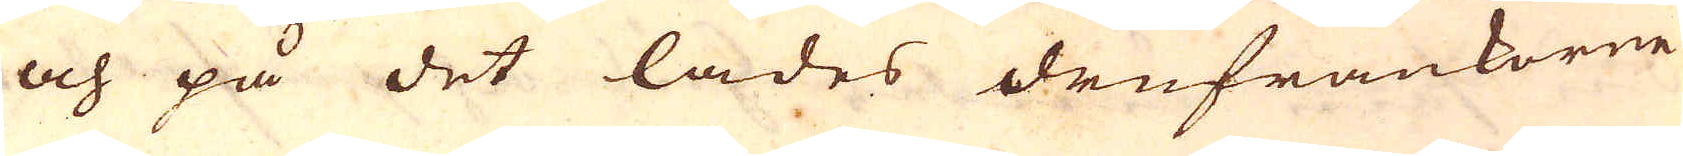och på det lades drufrankorne
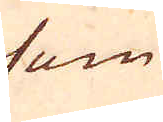som
